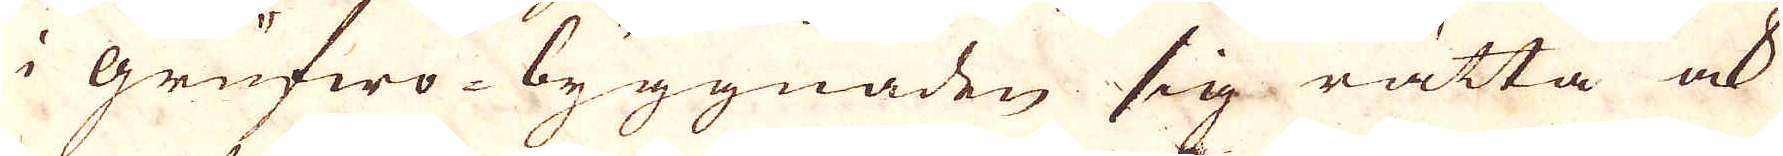i grufwo-byygnaden sig rätta ock
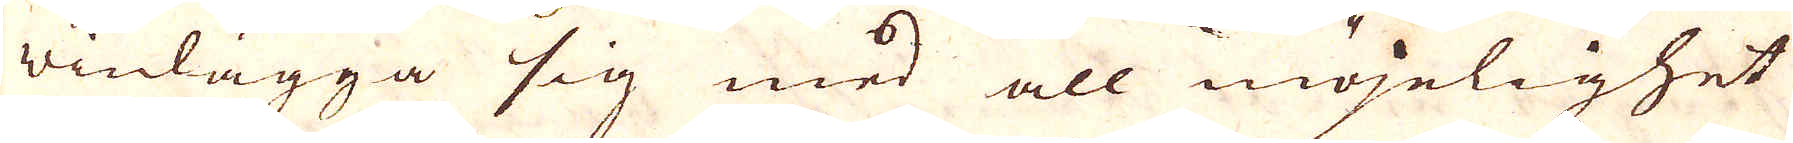winlägga sig med all möjelighet
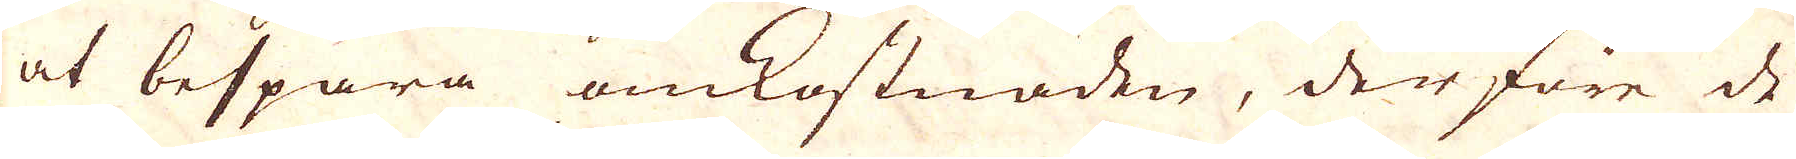at bespara omkostnaden, derföre de
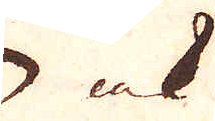ock
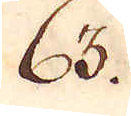63.
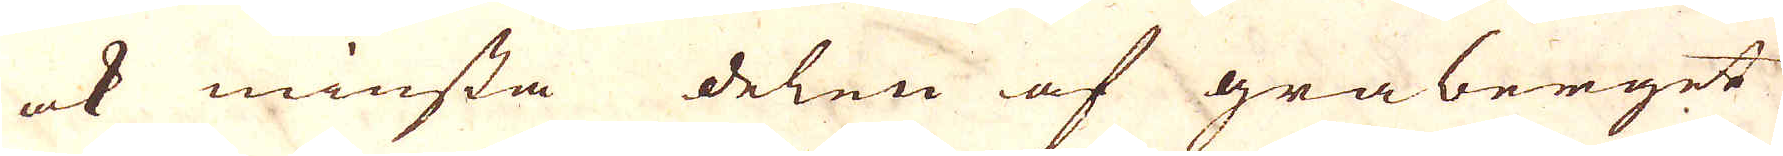ock minsta delen af gråberget
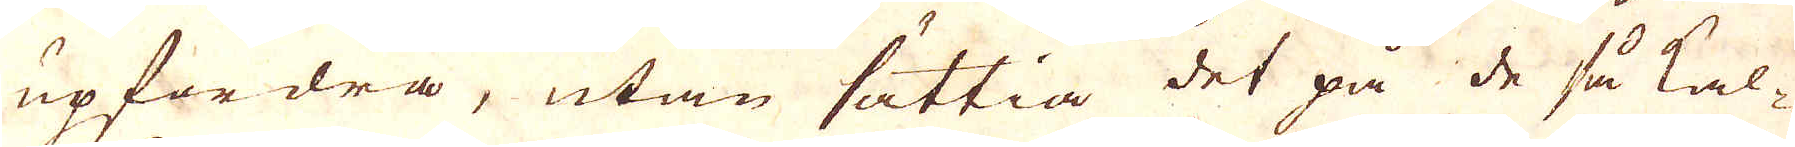upfordra, utan sättia det på de så kal-
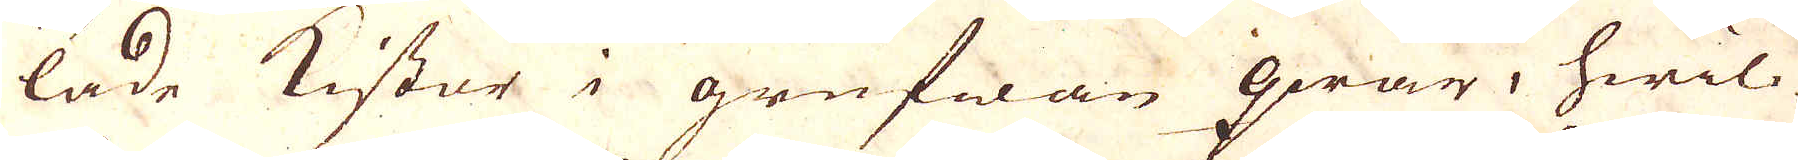lade kistor i grufwan qwar, hwil-
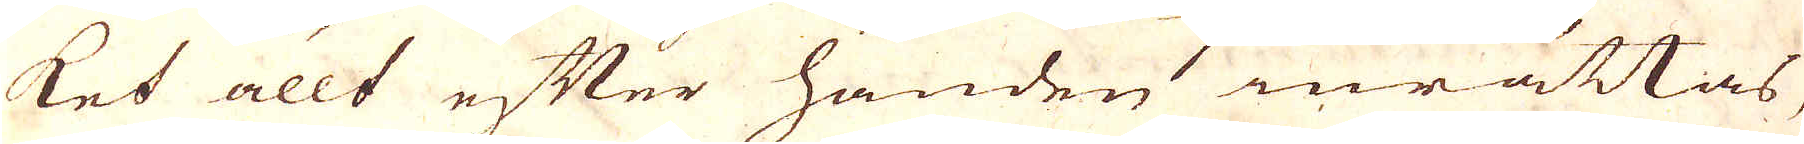ket allt efter handen inrättas
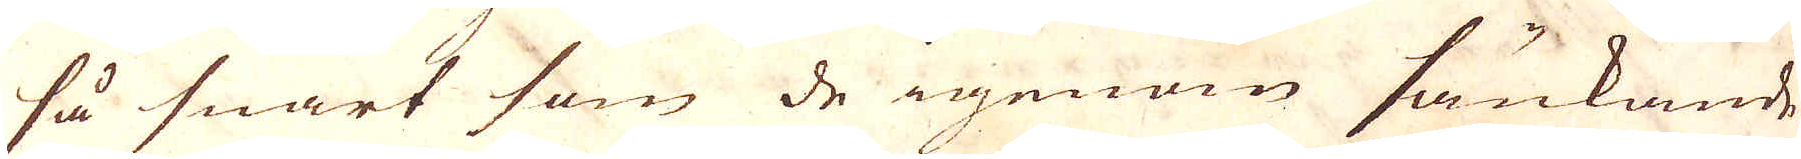så snart som de igenom sänkande
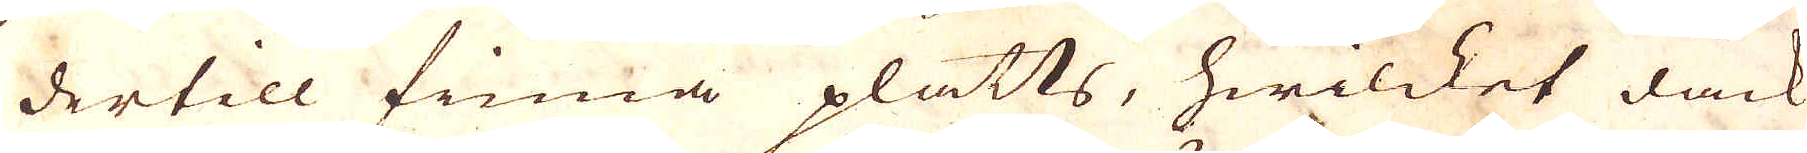dertill finna platts, hwilcket dåck
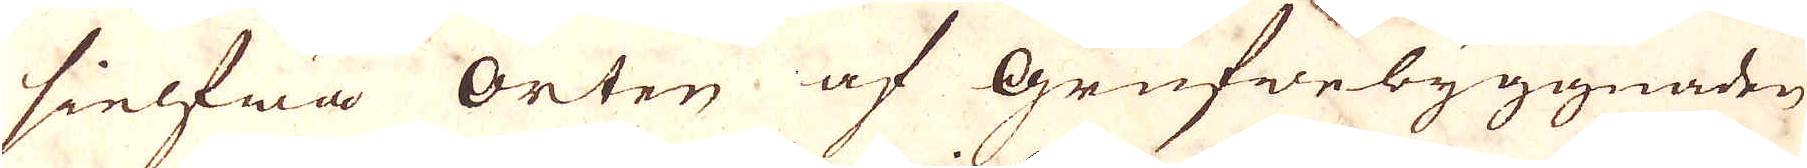sielfwa orten af Grufwebyggnaden
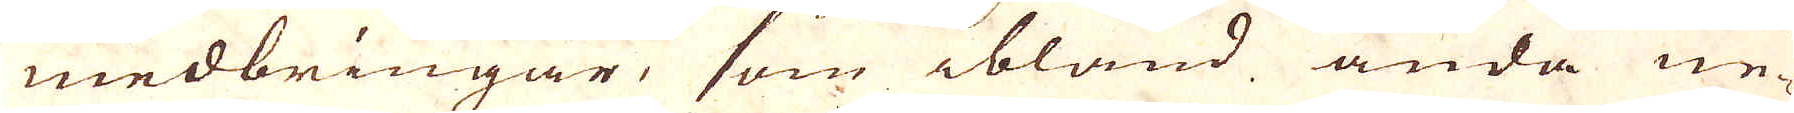medbringar, som ibland ända ne-
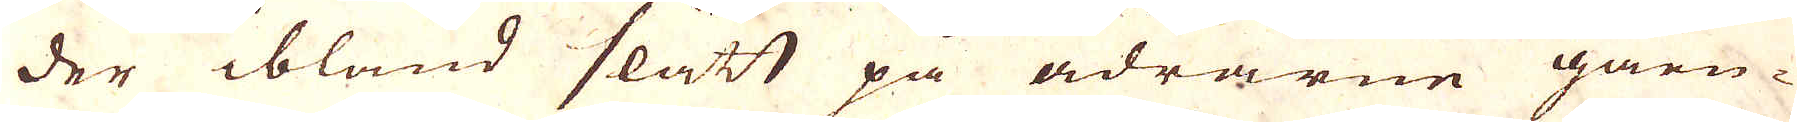der bland slått på ådrarne gåen-
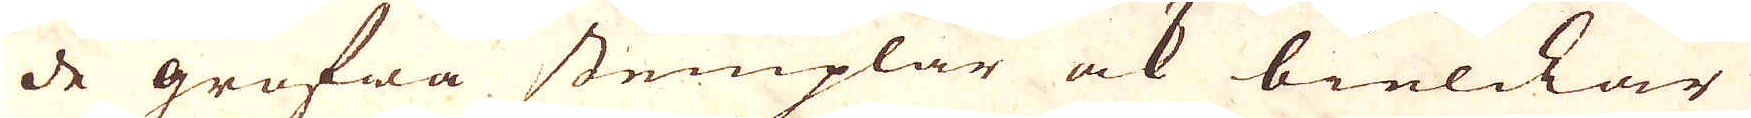de grofwa stemplar ock bielckar
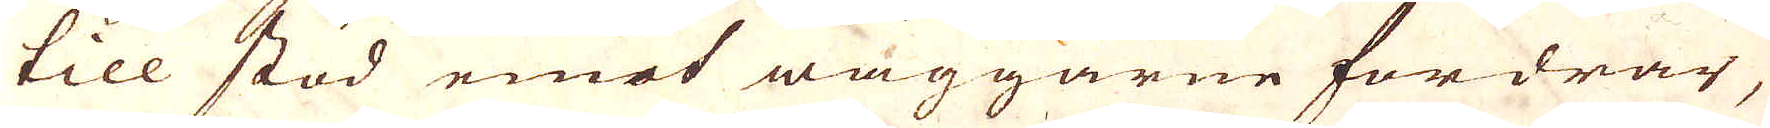till stöd emot wäggarne fordrar,
